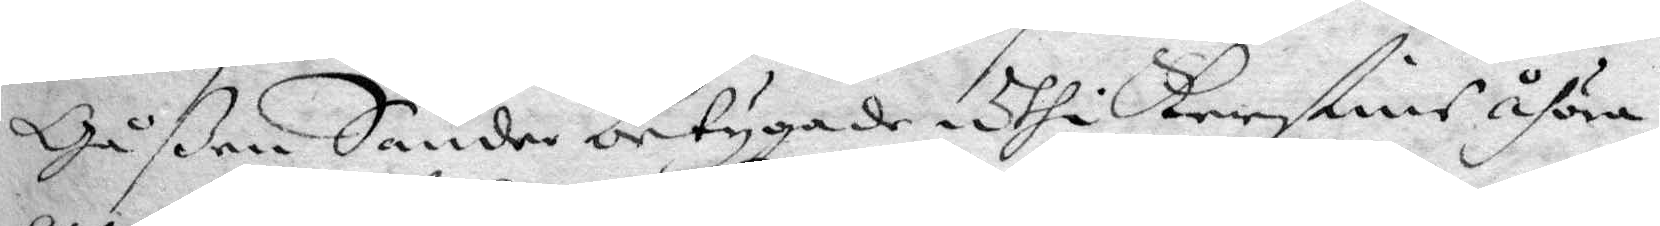Gpßen Sander betygade Uthi Kerstins åhöra,
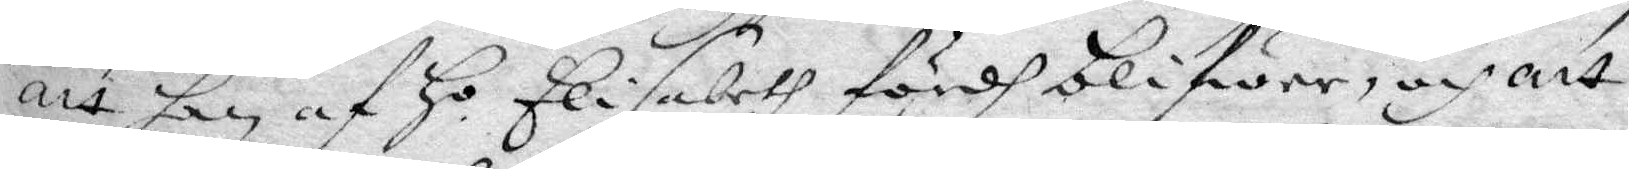att han af Ho Elisabeth fördh blifwer, och att
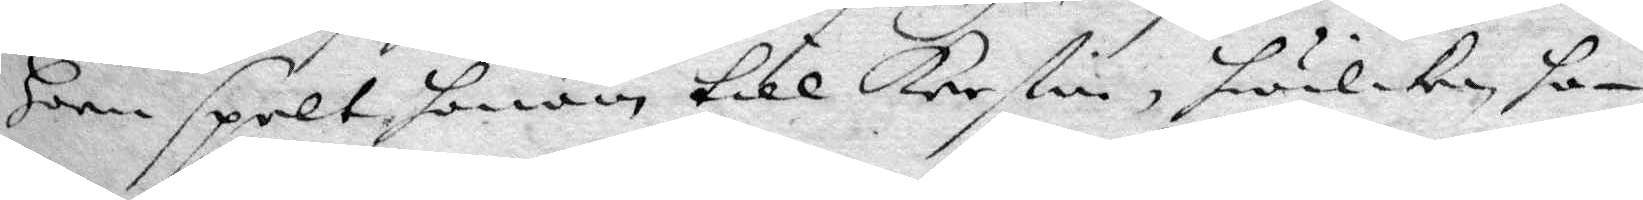hon spelt honom till Kerstin, hwilken ho¬
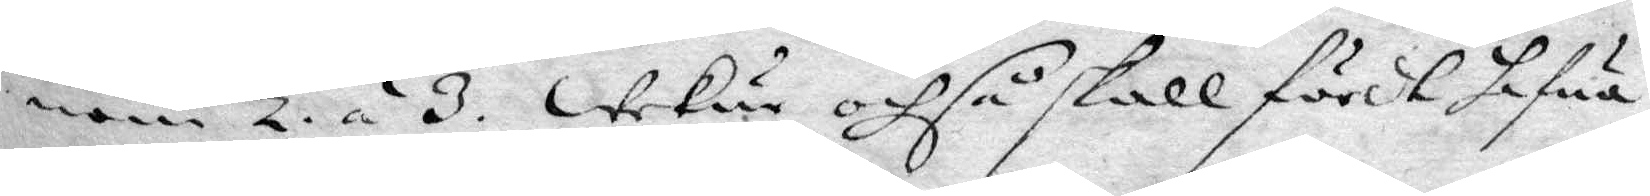nom 2. á 3. Wekur ochså skall fördt hafua
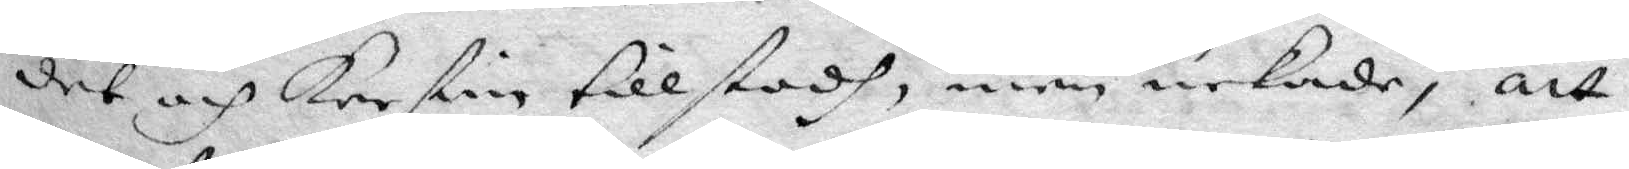det och kerstin tillstodh, men nekade, att
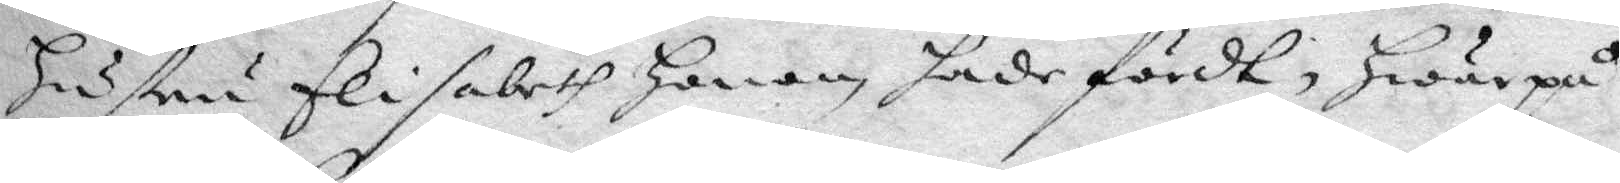hustru Elisabeth honom hade fördt, hwarpå
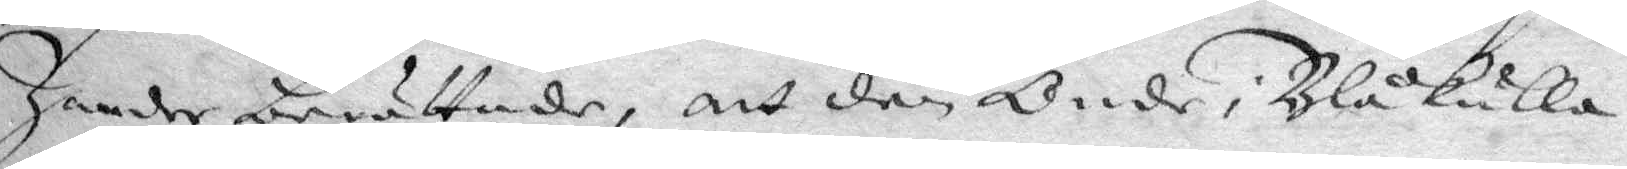Zander berättade, att den Onde i Blåkulla
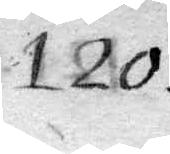120
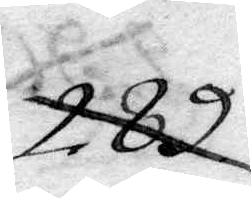289
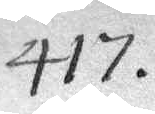417.
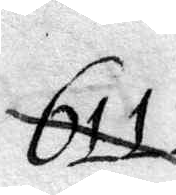611
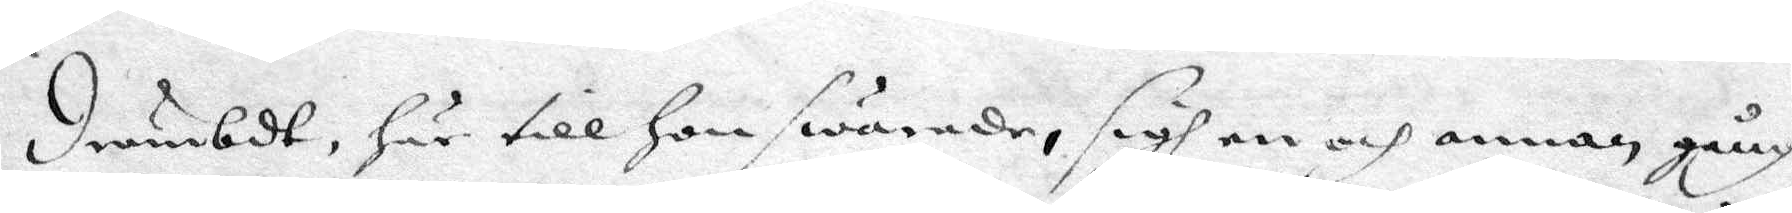drömbdt, här till hon swarade, sigh en och annan gång
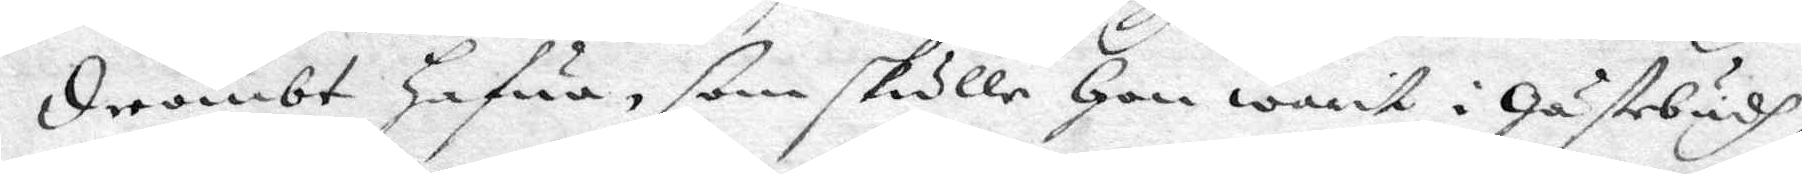drömbt hafwa, som skulle hon warit i Gästebudh,
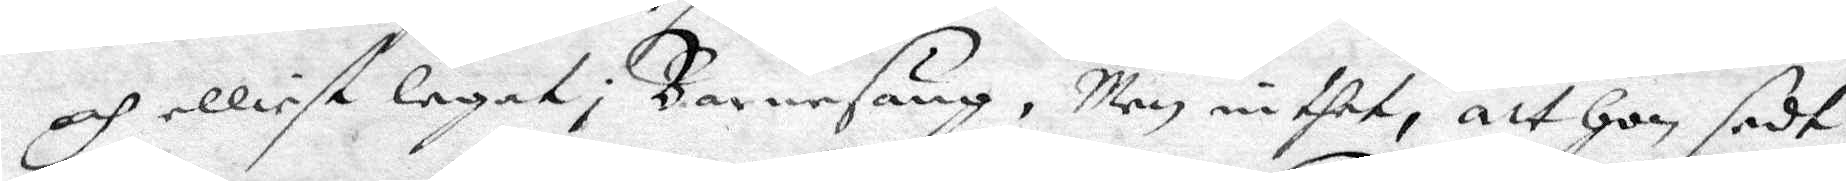och elliest legat i Barnesäng, Men inthet, att hon sedt
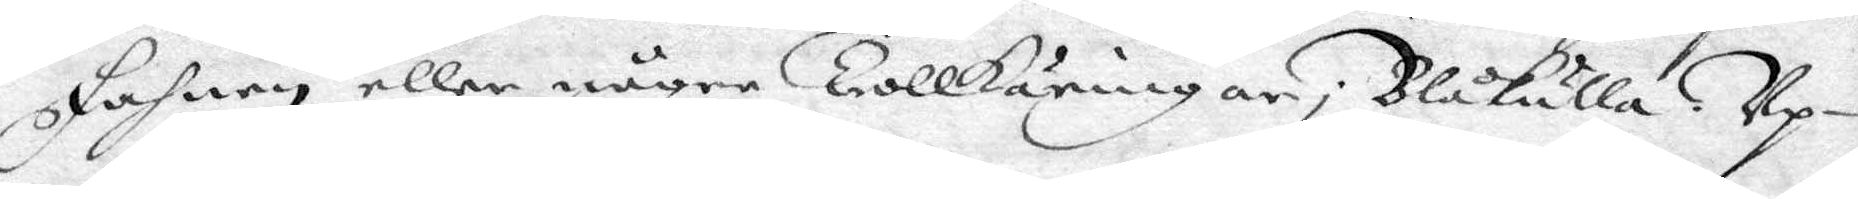Fahnen eller några Trollkäringar i Blåkulla. Up¬
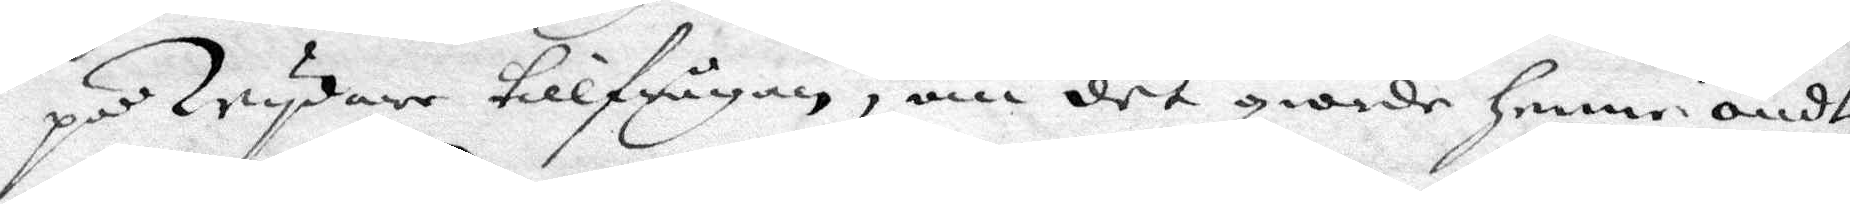på wydare tillfrågan, om det giorde henne ondt,
